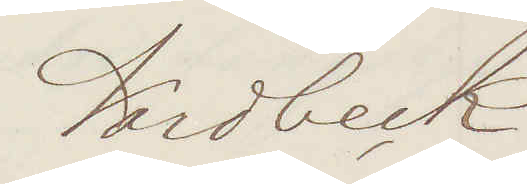Nordbeck
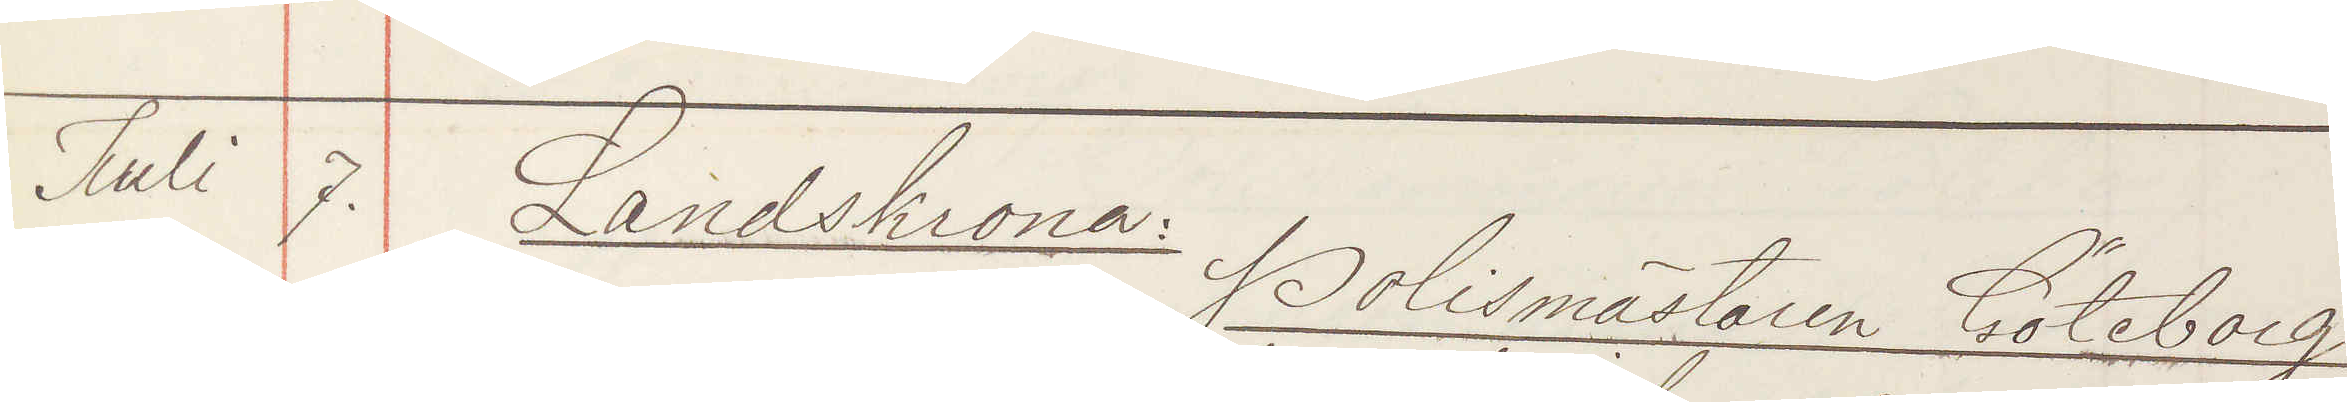Juli 7. Landskrona: Polismästaren Göteborg
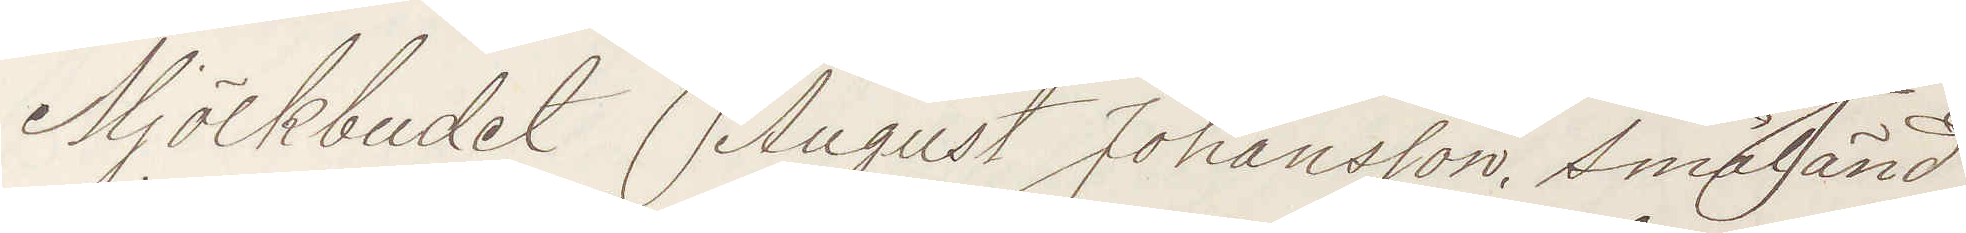Mjölkbudet August Johanson Småländ¬
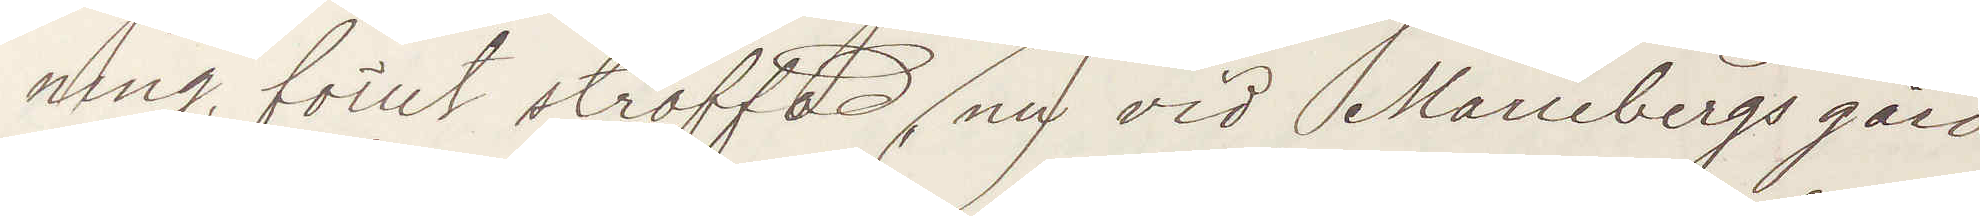ning, förut straffad nu vid Mariebergs gård
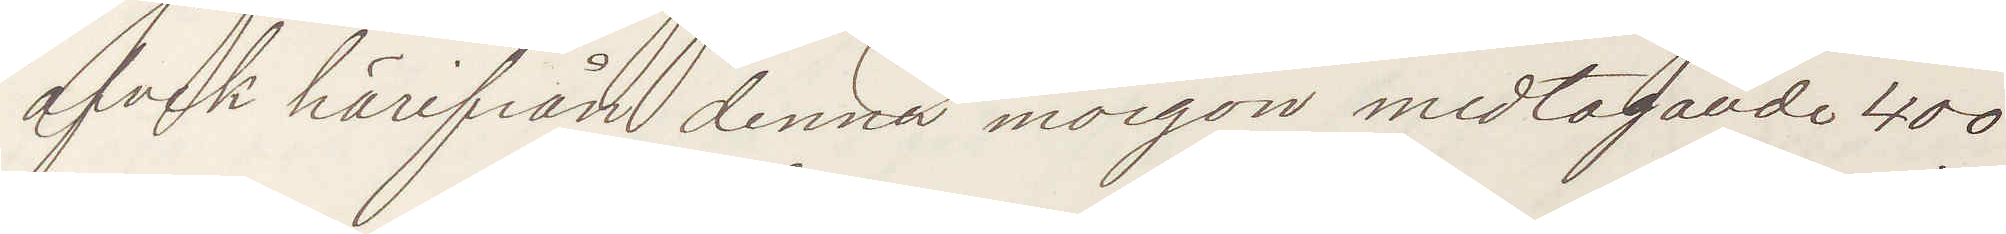afvek härifrån denna morgon medtagande 400
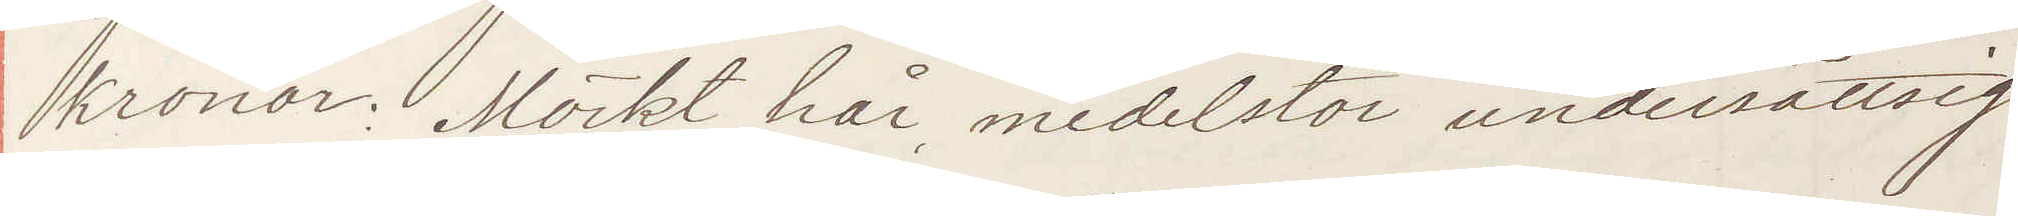kronor. Mörkt hår, medelstor undersättsig,
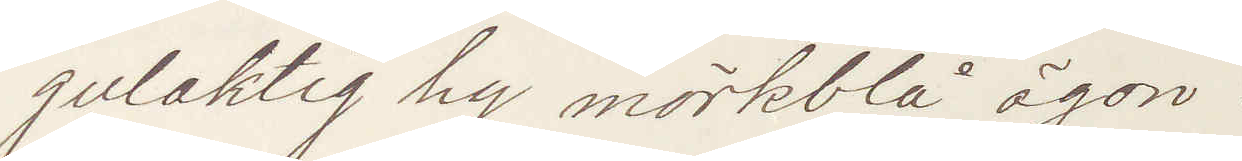gulaktig hy mörkblå ögon:
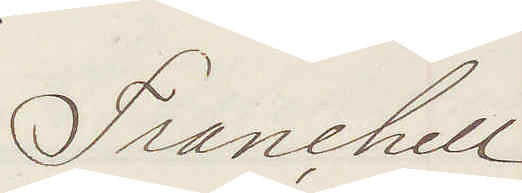Franchell
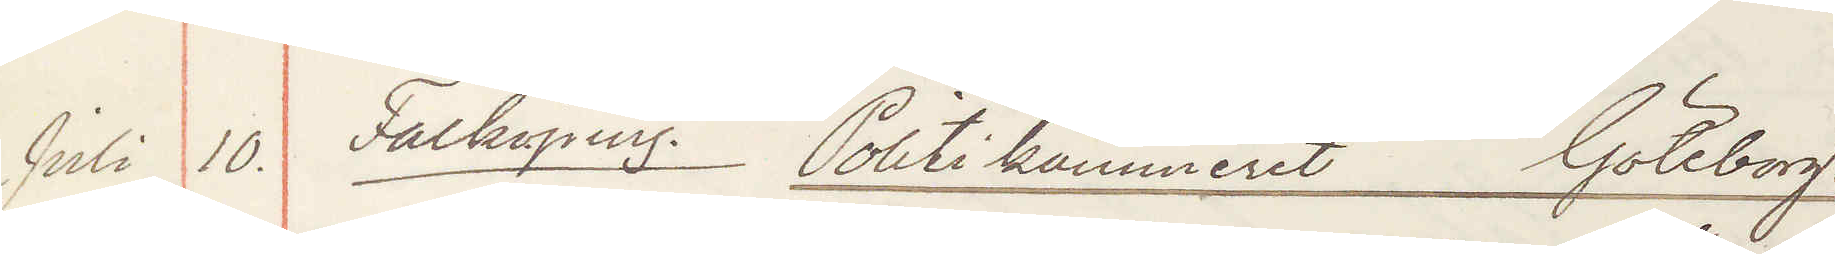Juli 10. Falköping: Politikammeret Göteborg.
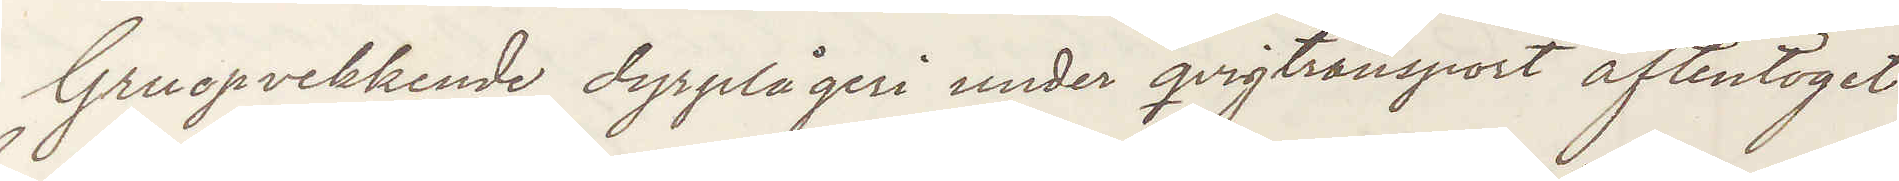Gruopvekkende dyrplågeri under qvigtransport aftentoget
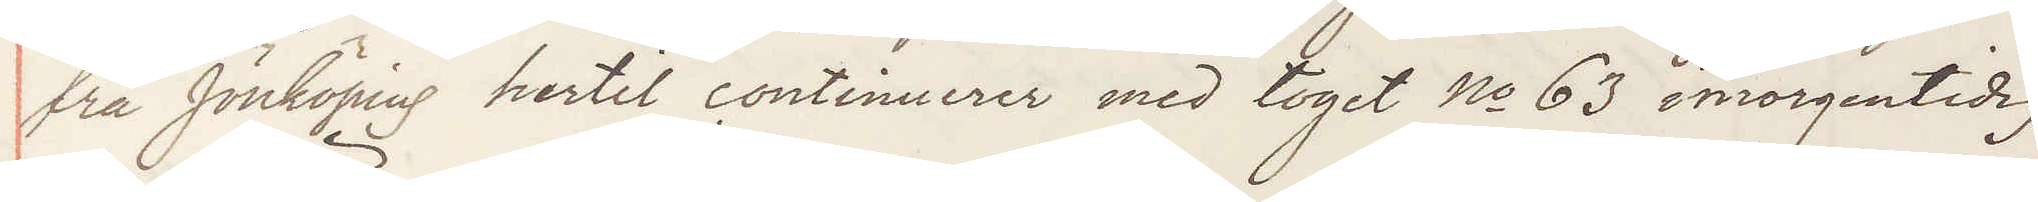fra Jönköping hertil continuerer med toget No 63 imorgentidig
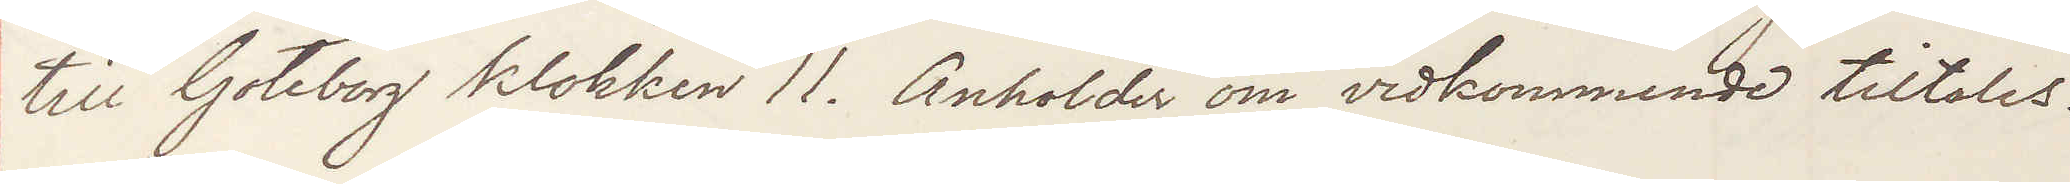till Goteborg klokken 11. Anholder om vidkommende tiltales.
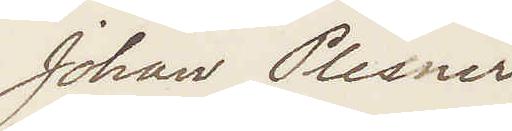Johan Plesner
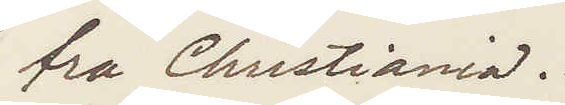fra Christiania.
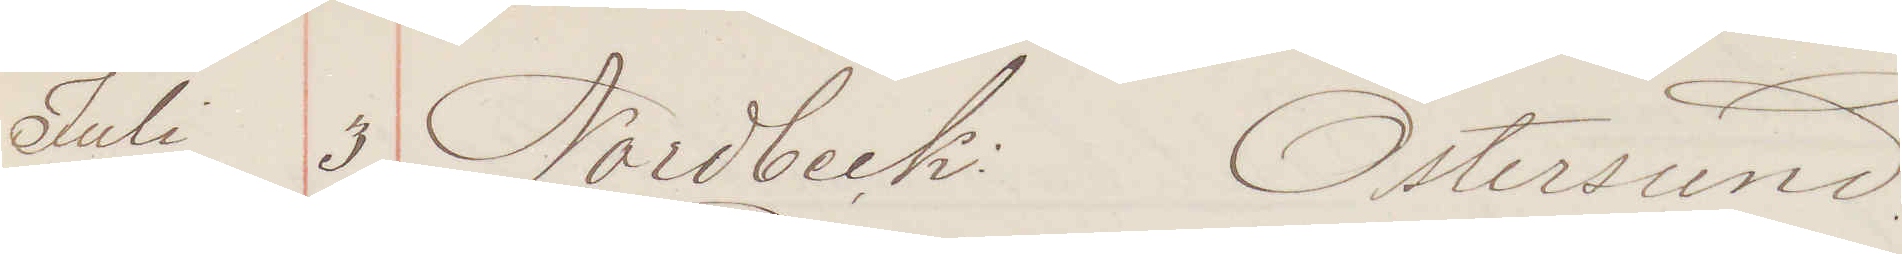Juli 3. Nordbeck: Östersund:
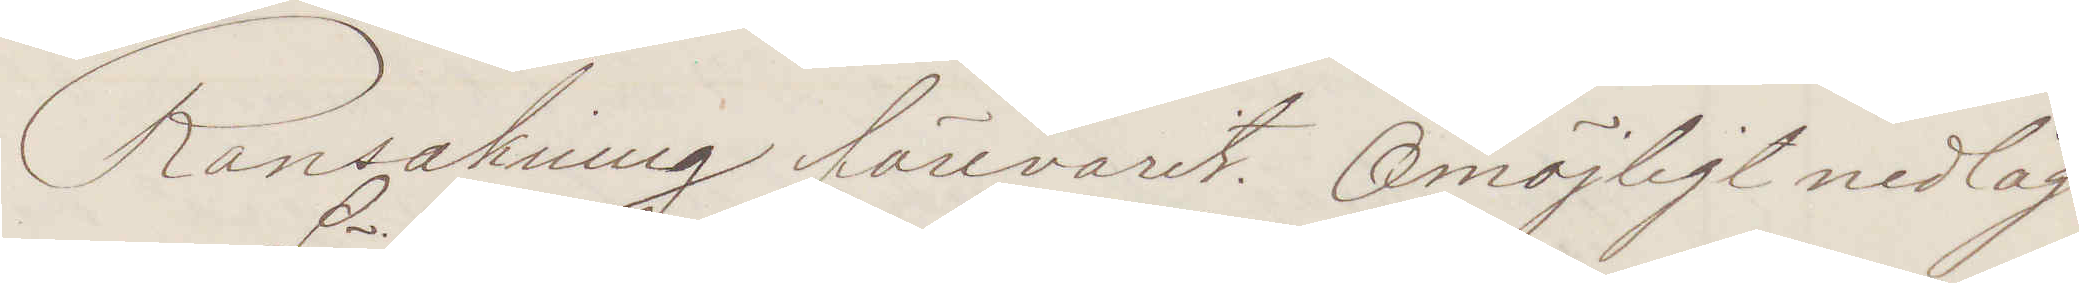Ransakning förevarit. Omöjligt nedläg¬
